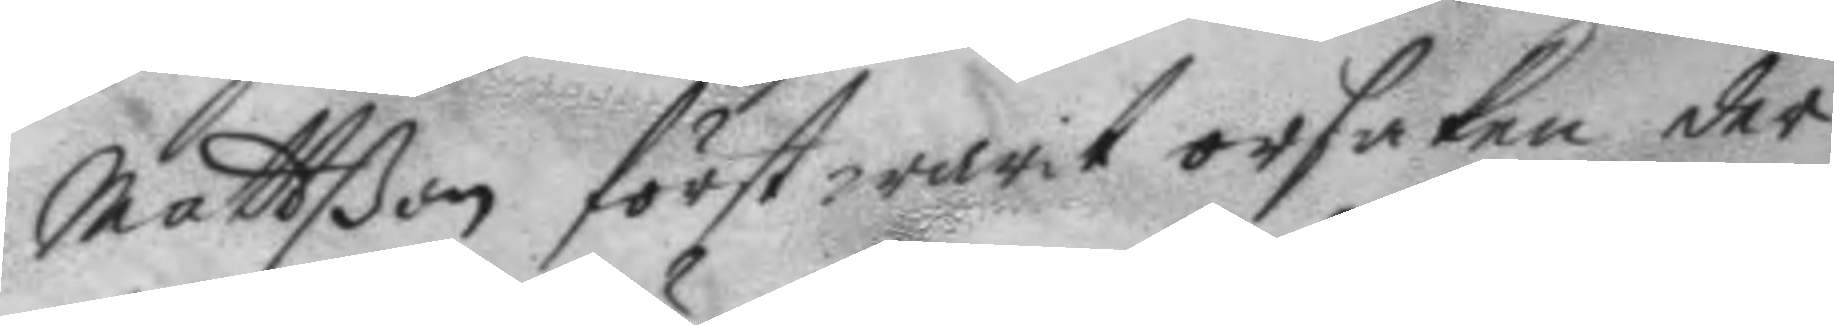Matton först warit orsaken der
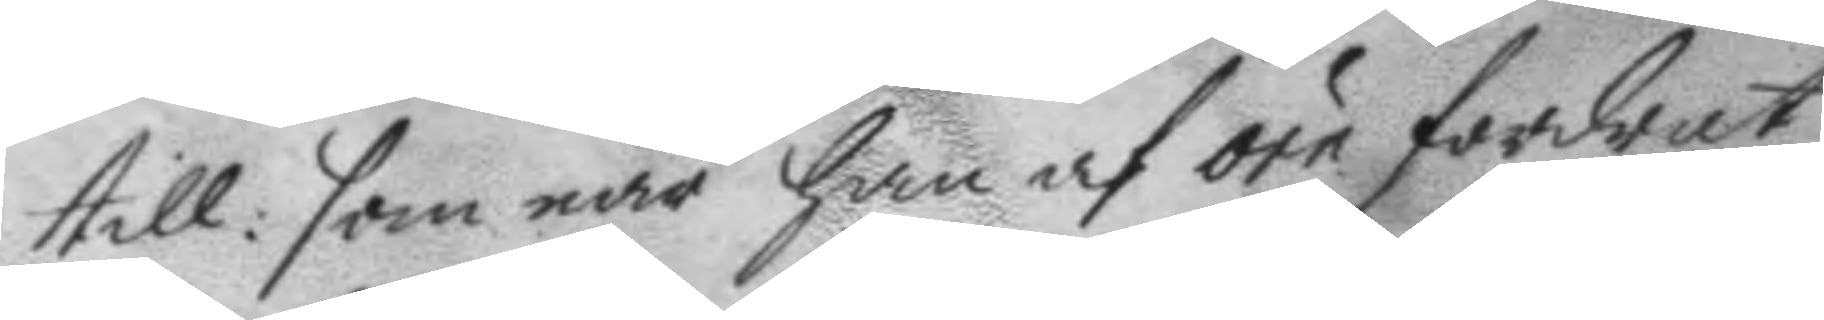till: som när han af örn fordrat
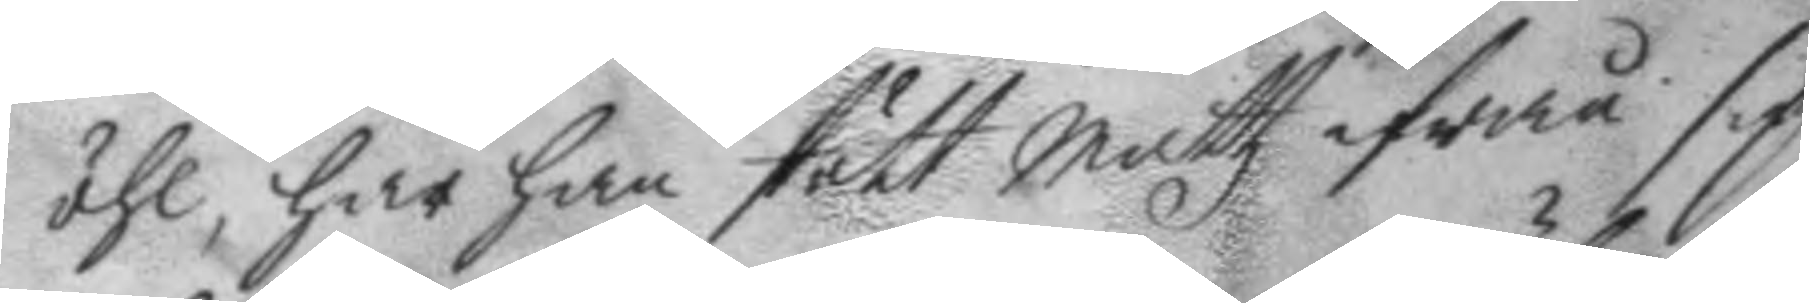öhl. har han stött Mattz ifrån sig
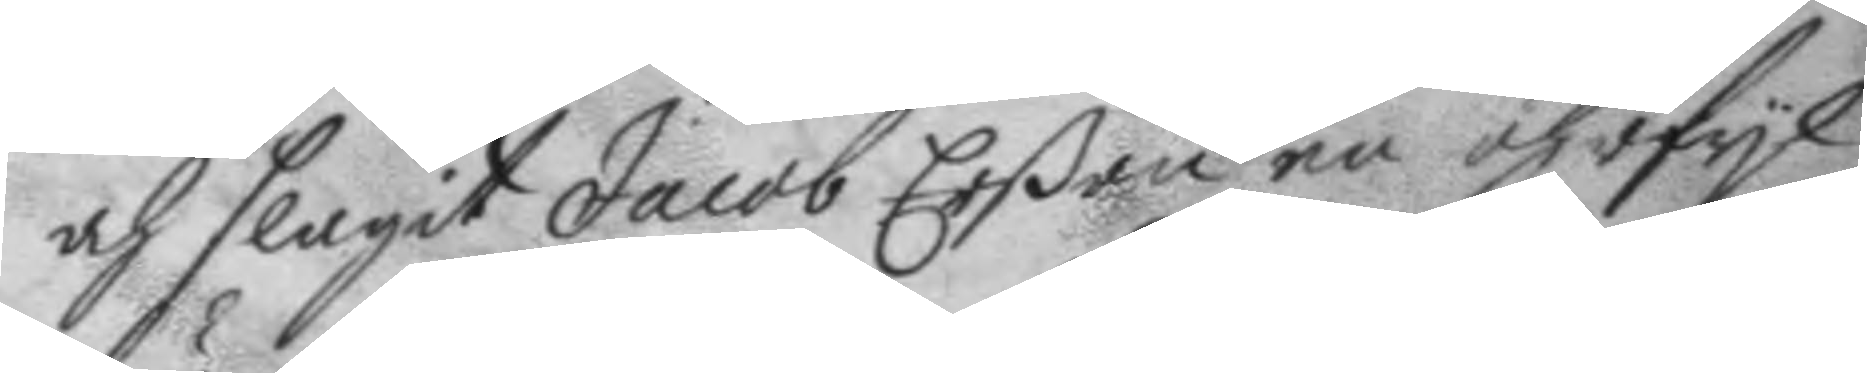och slagit Jacob Erßon en öhrfyl
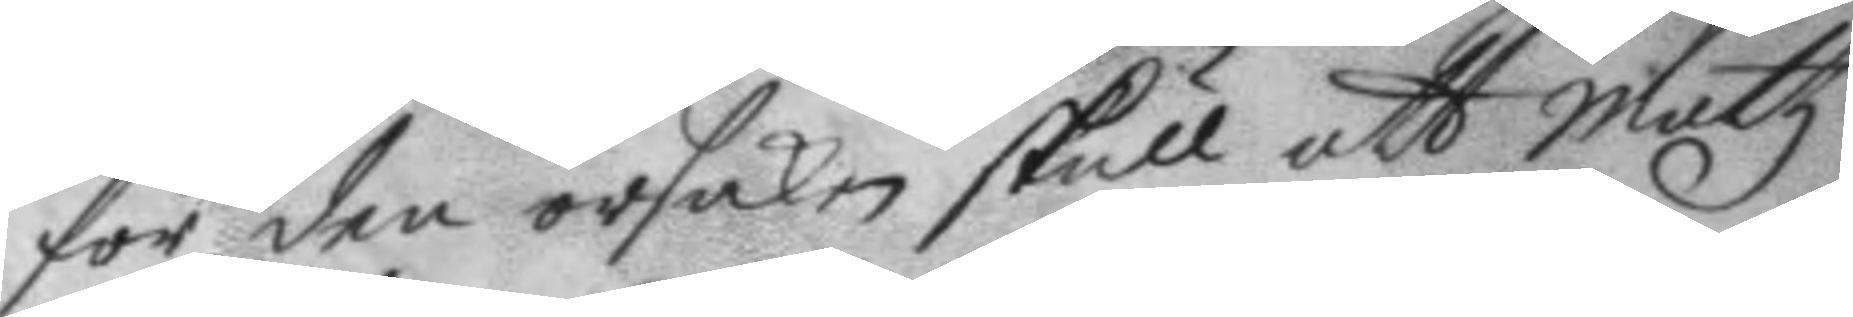för den orsaken skull att mattz
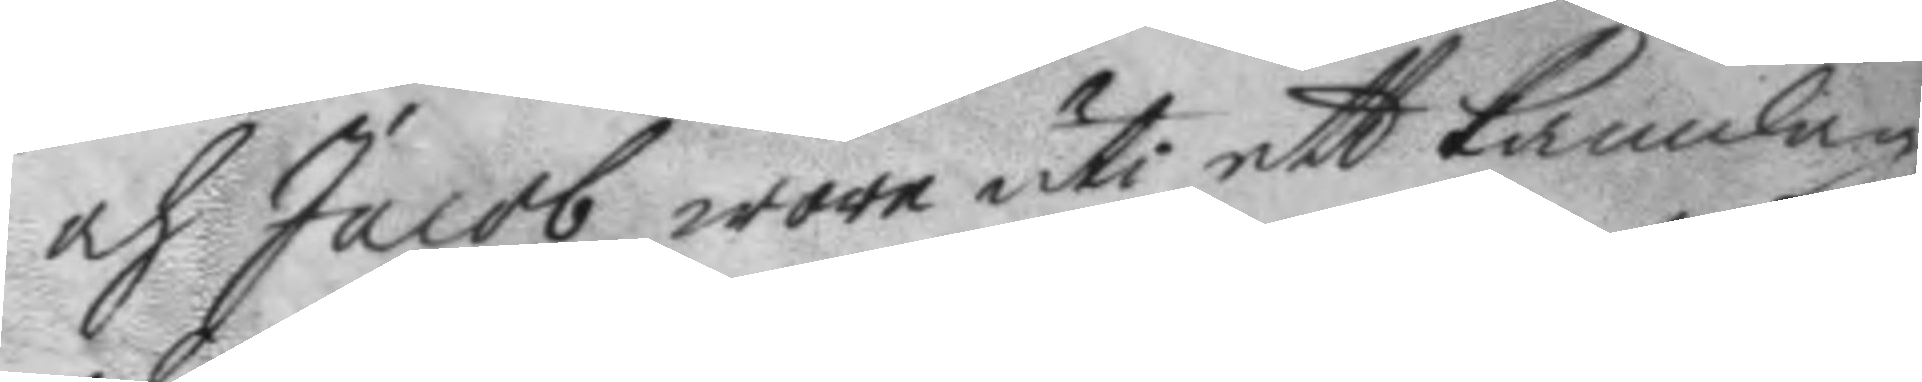och Jacob wore uti ett kamlag,
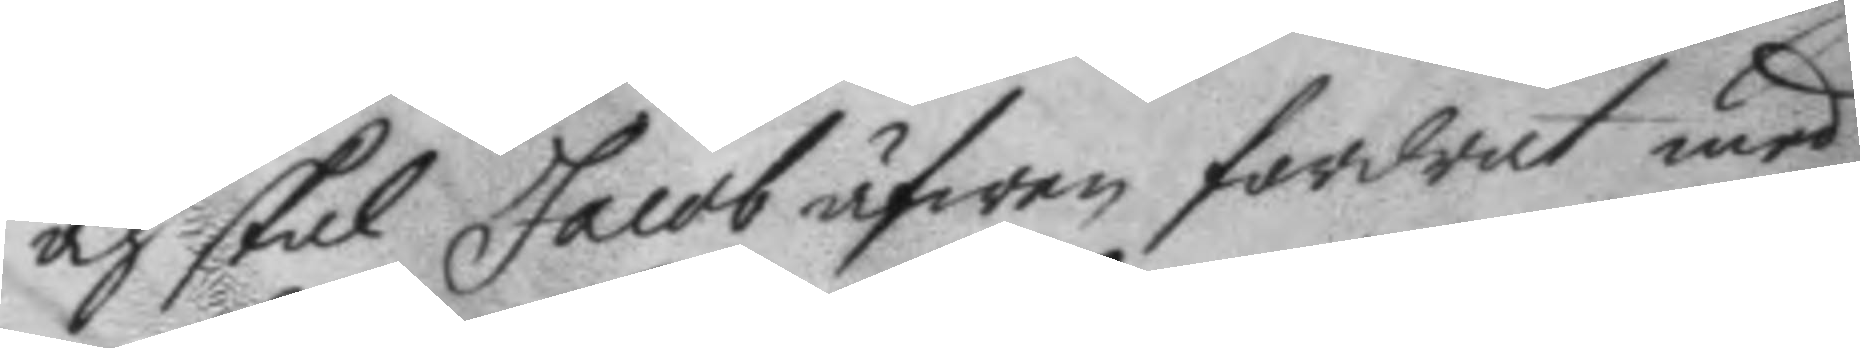och skal Jacob äfwen fordrat med
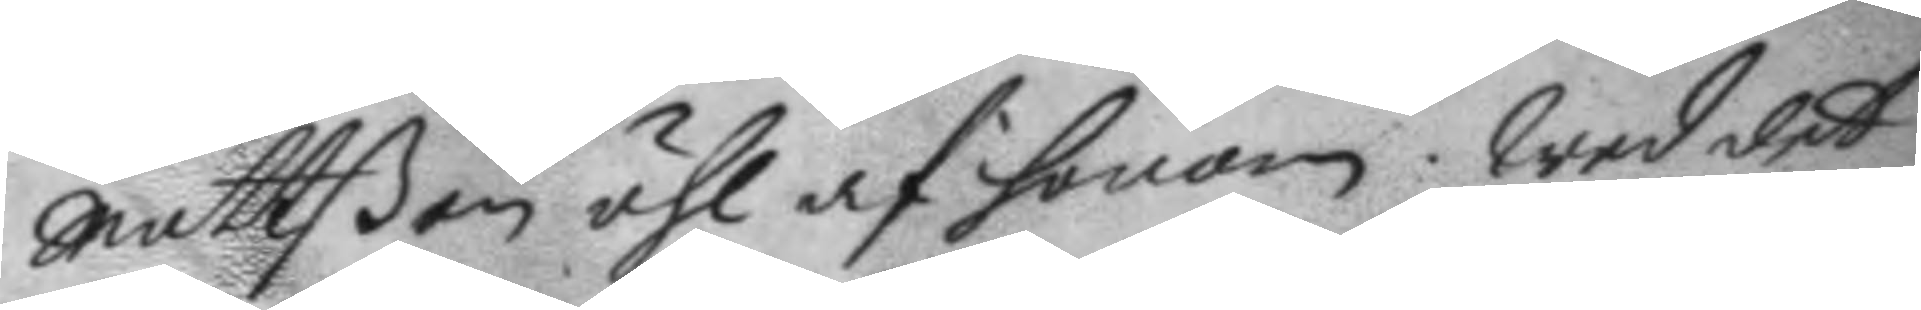Mattßon öhl af honom. Wed det
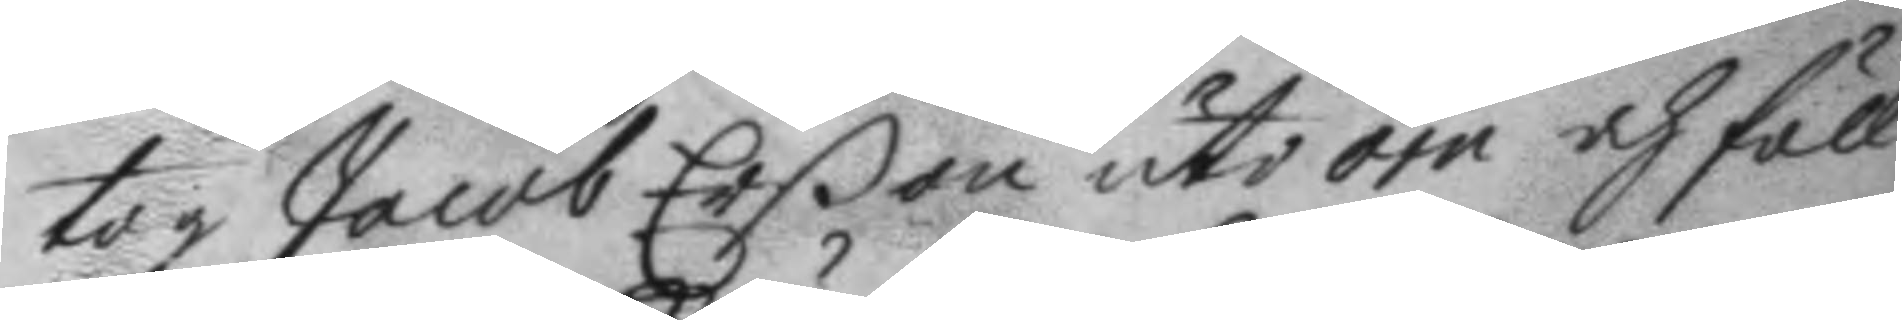tog Jacob Erßon uti örn och föll
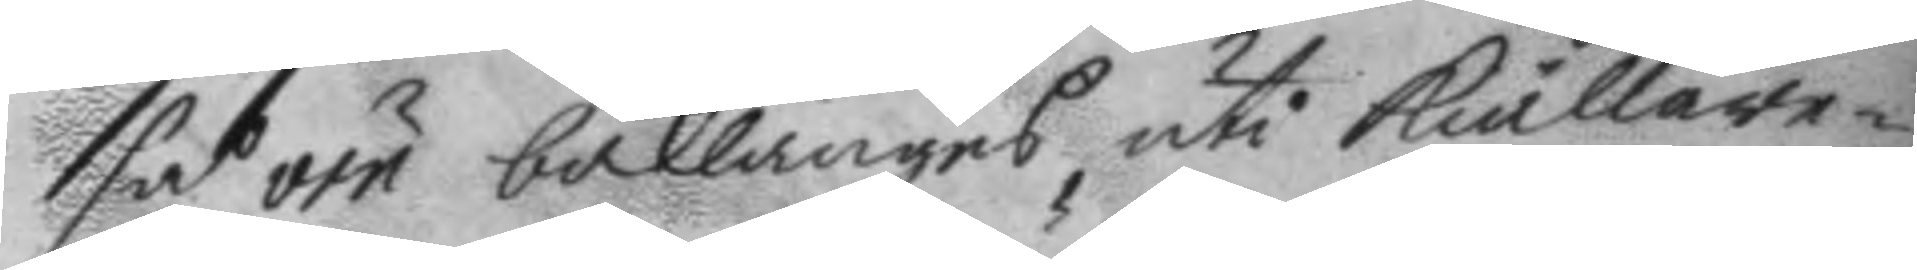så örn baklänges uti kiällare¬
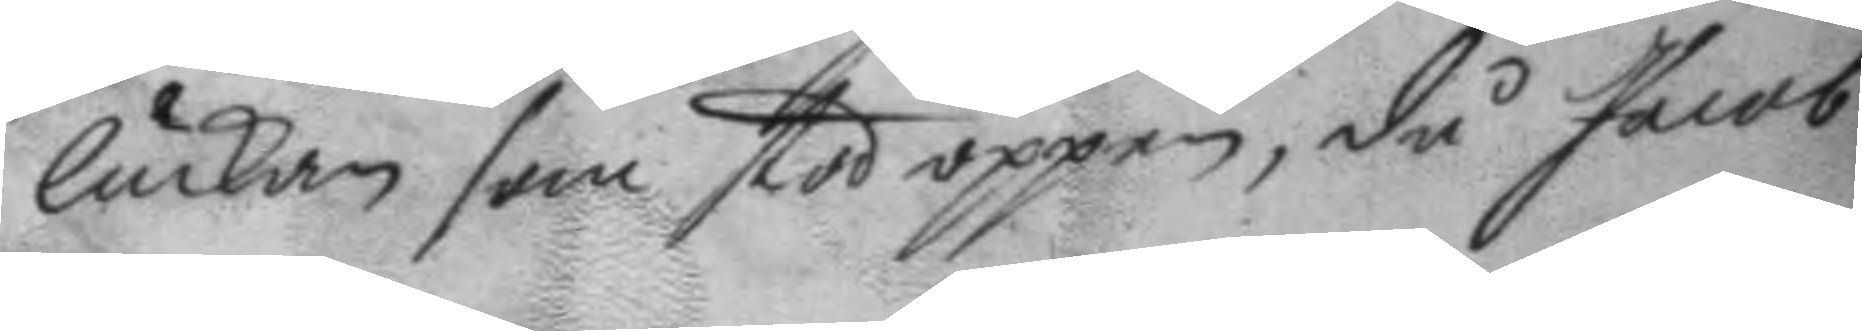luckan som stod öppen, då Jacob
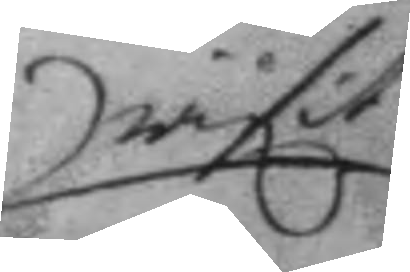rifit
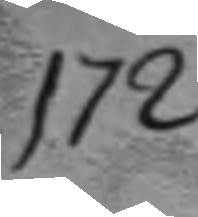172
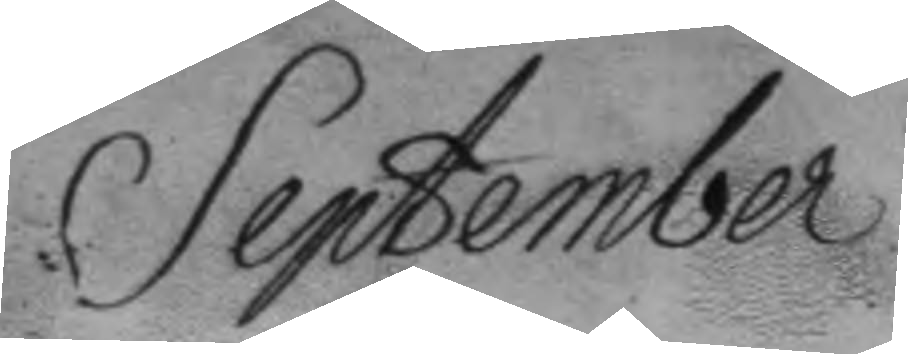September	
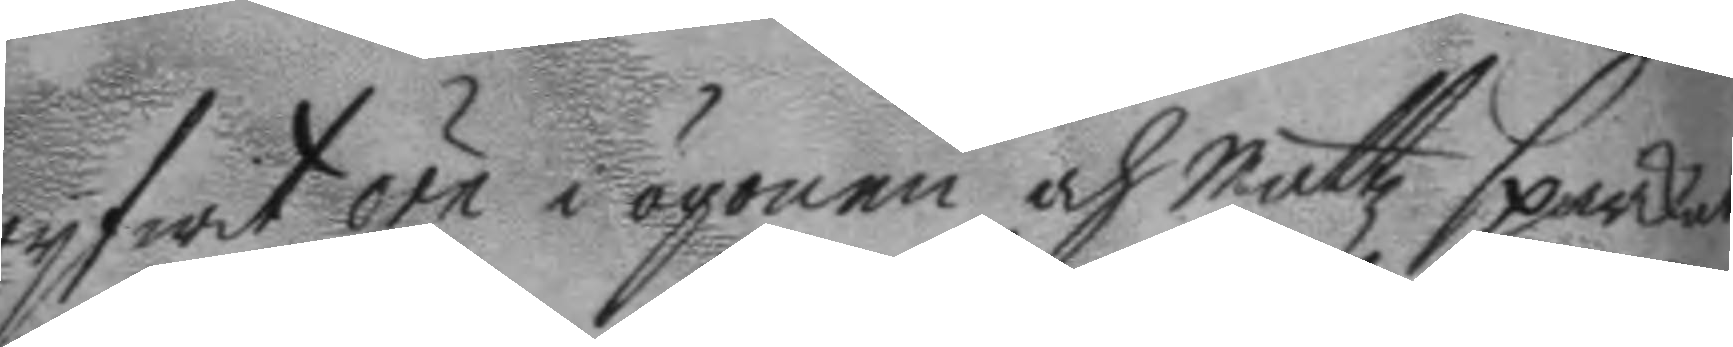ryfwit örn i ögonen och Mattz sparkat
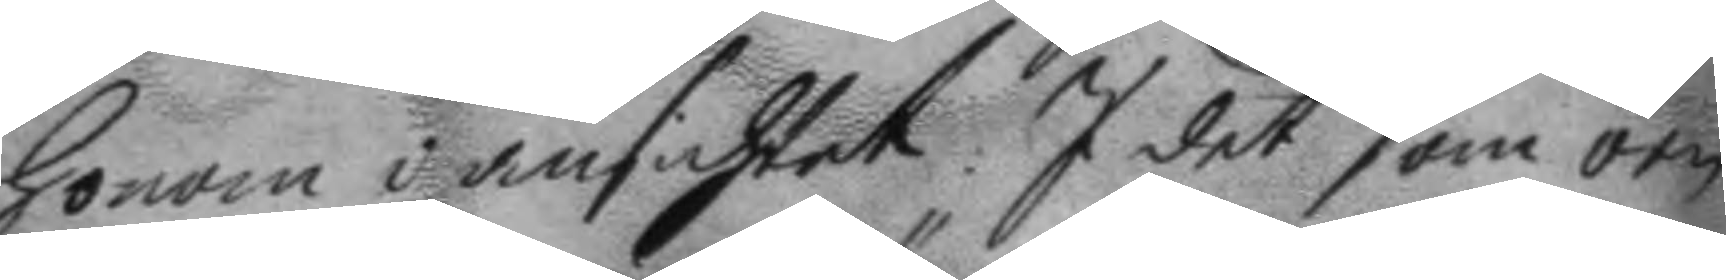honom i ansichtet. I det som örn
